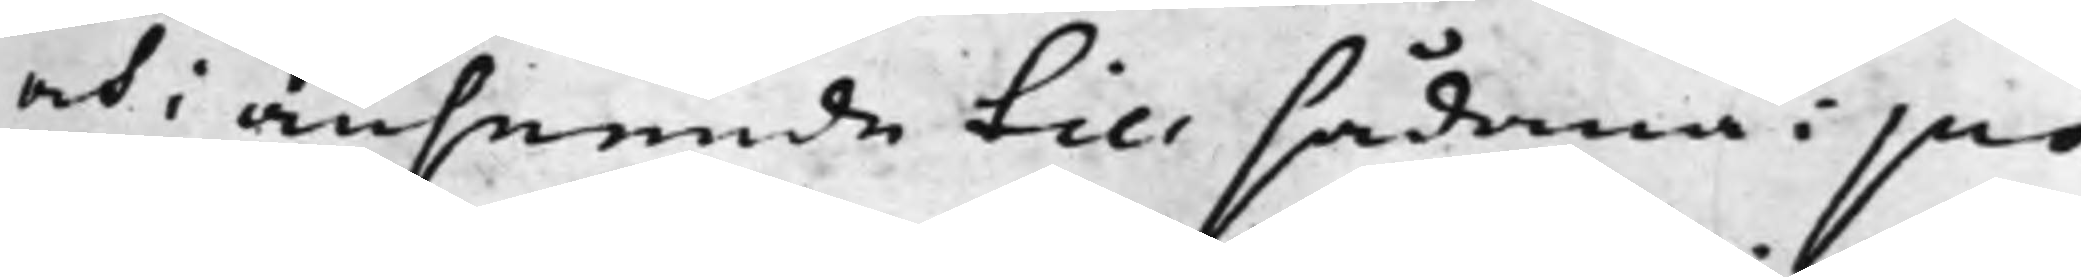och i anseende till sådana i pro¬
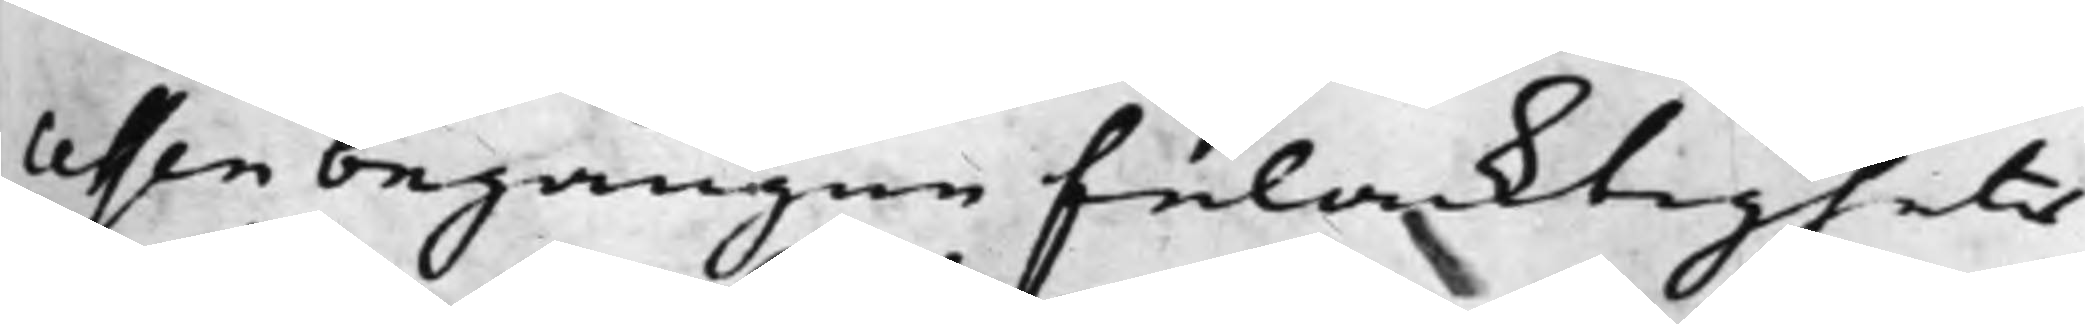essen begångne felacktigheter
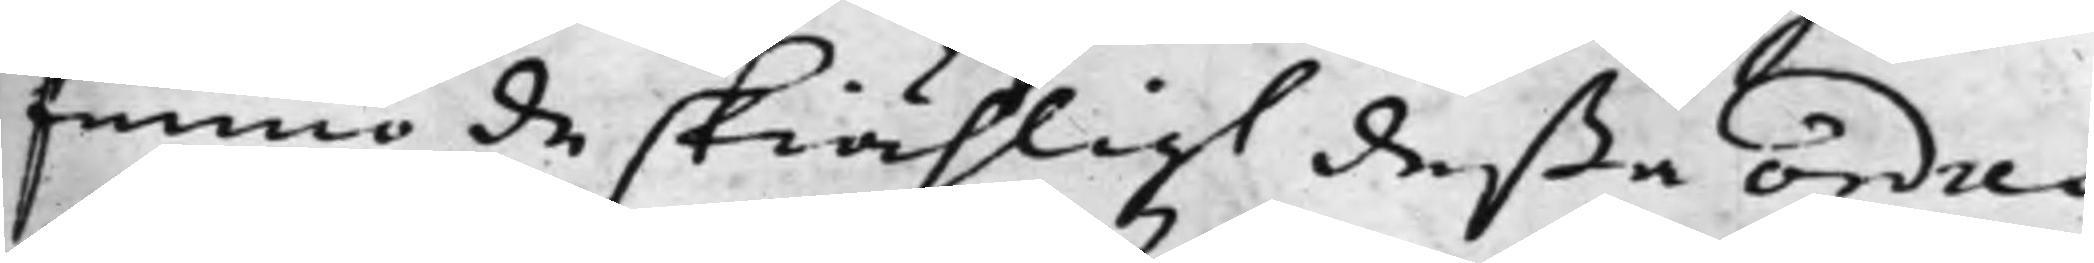funno de skiähligt deßa ordres
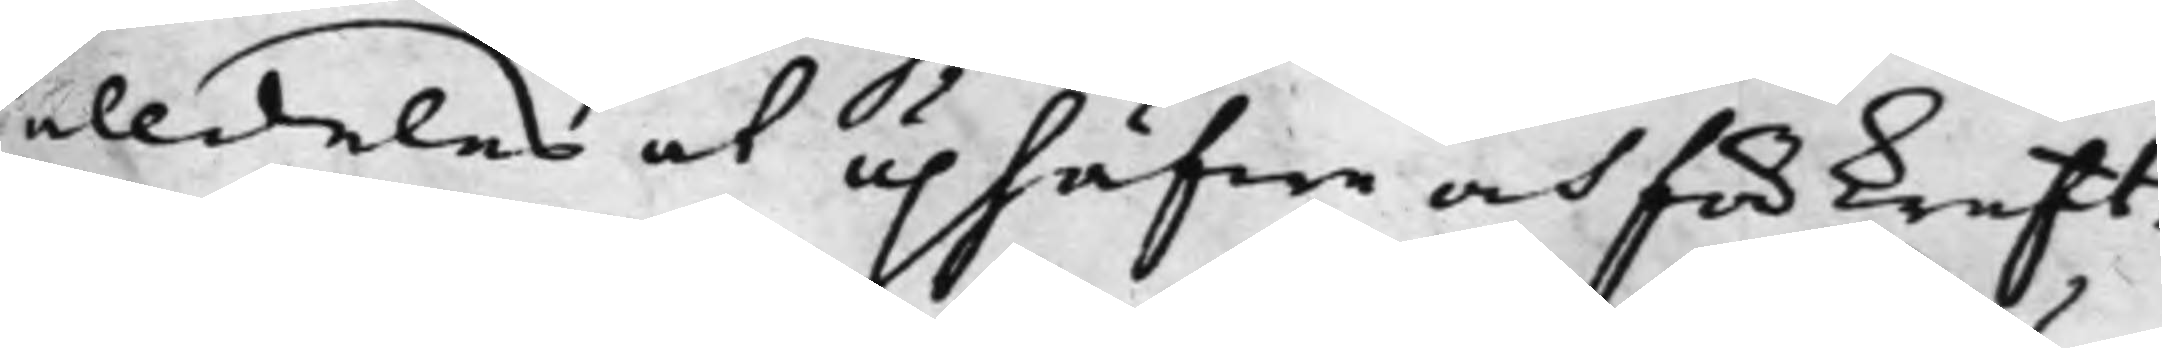alldeles at uphäfwa och för kraft¬
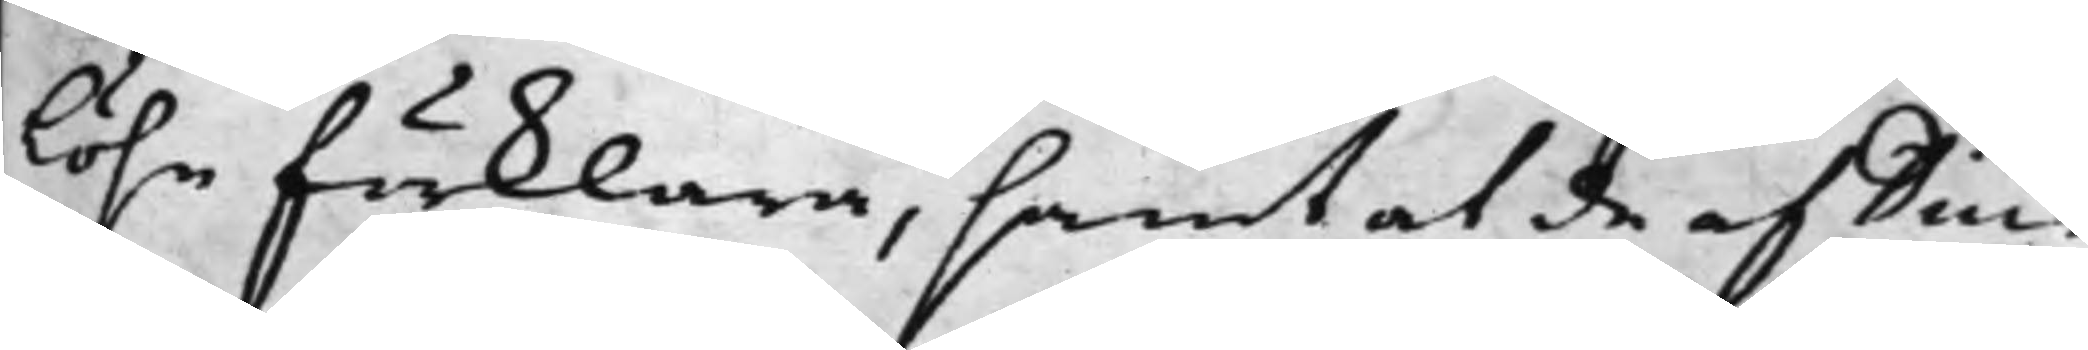löse förklara, samt at de af Diur¬
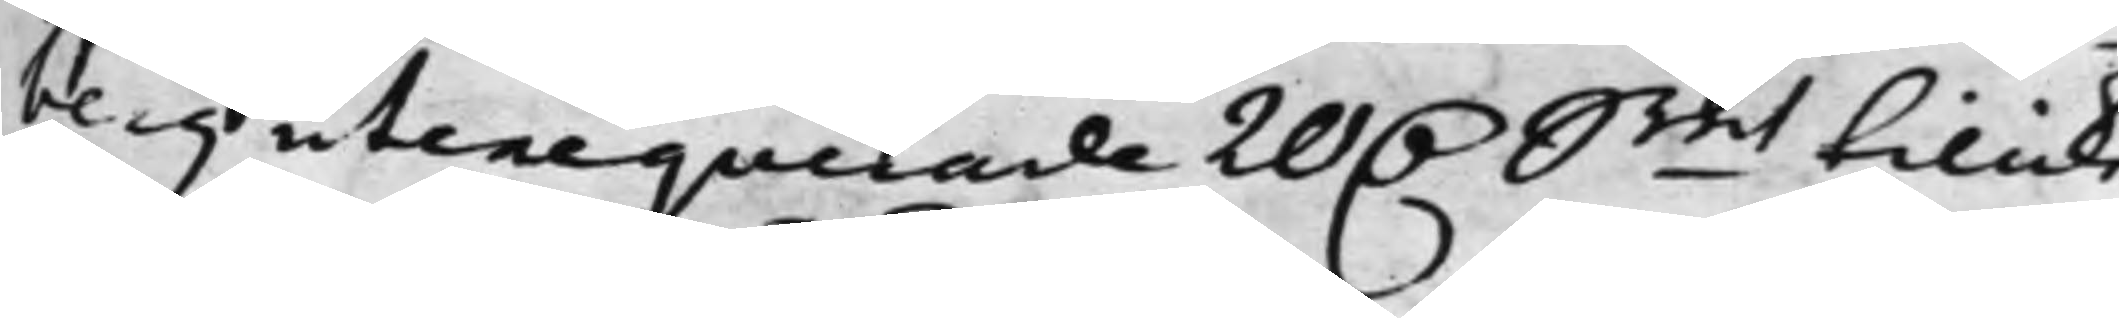berg utexequerade 20 D.r Smt tillike
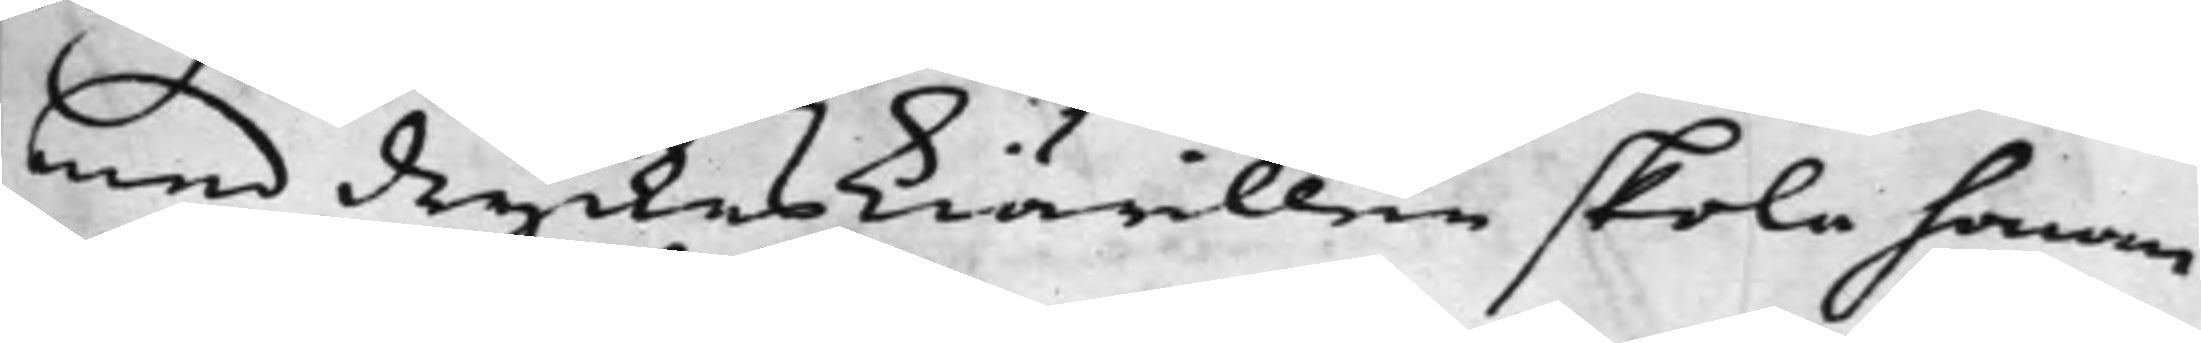med dryckeskiärillen skola honom
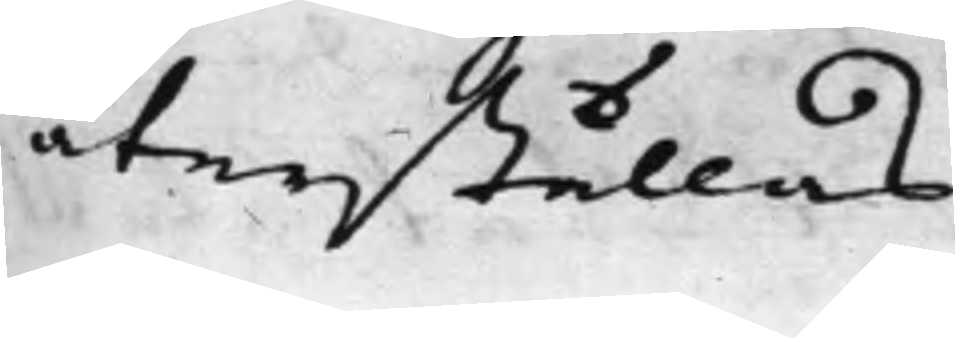återställas.
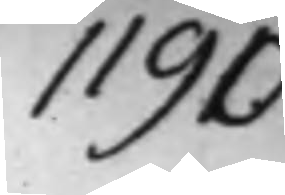1190.
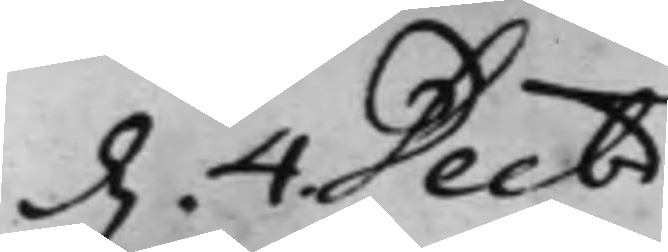d. 4 Decbr.
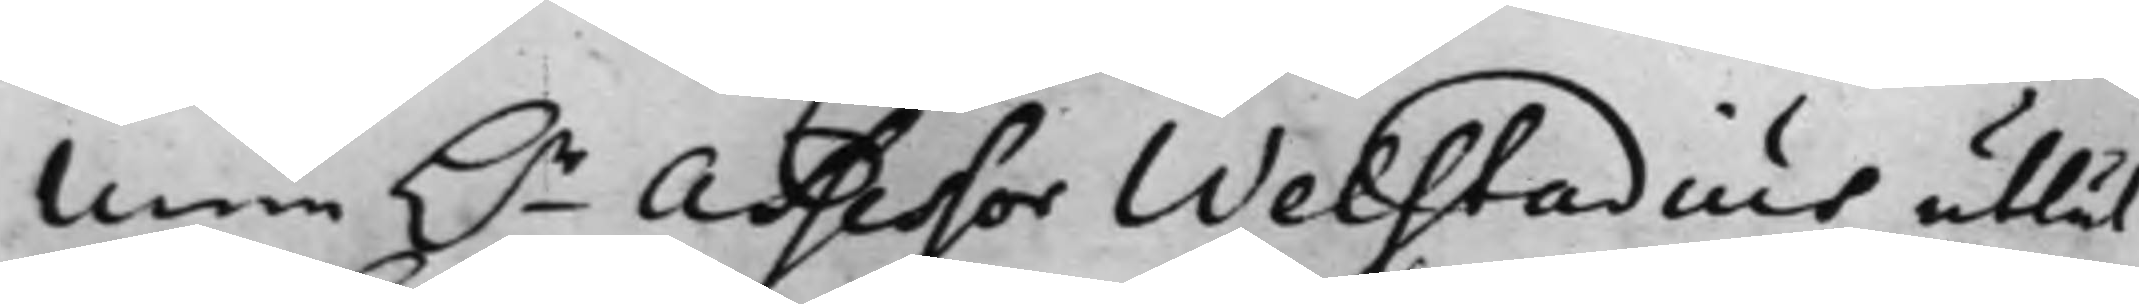Men h.r Assessor Welstadius utlät
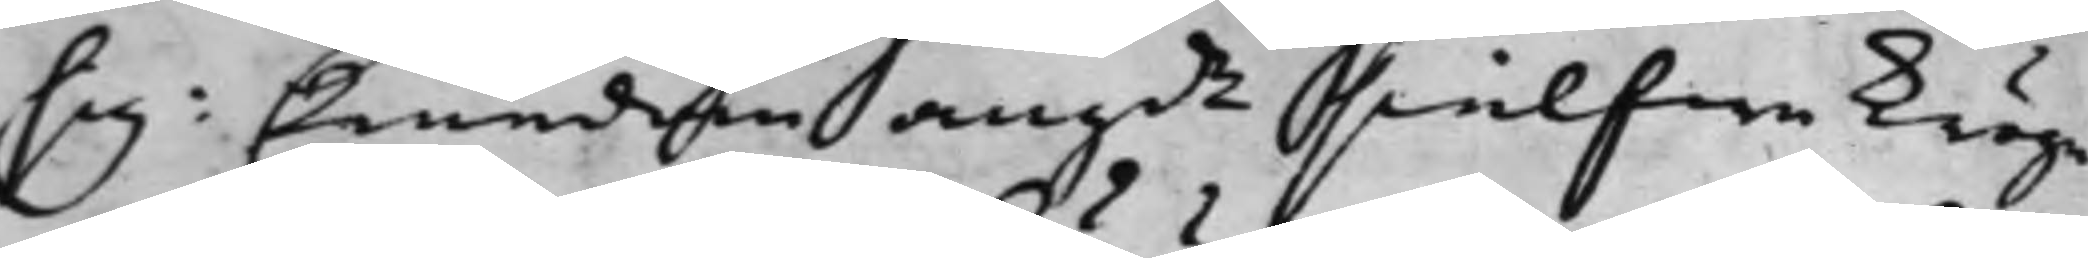sig: Emedan angde sielfwa kröge¬
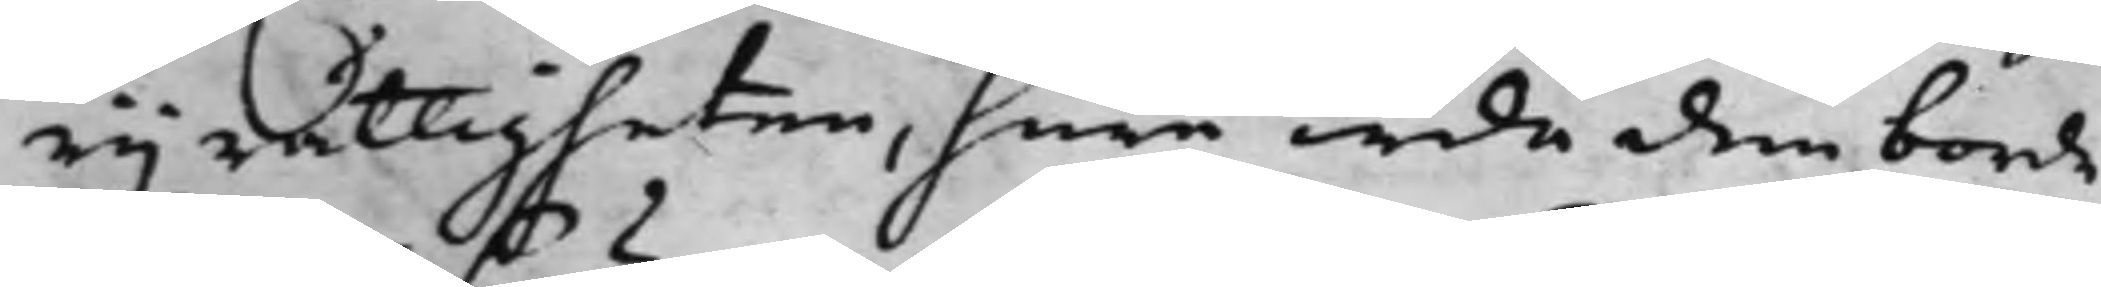rijrättigheten, huru wida den borde
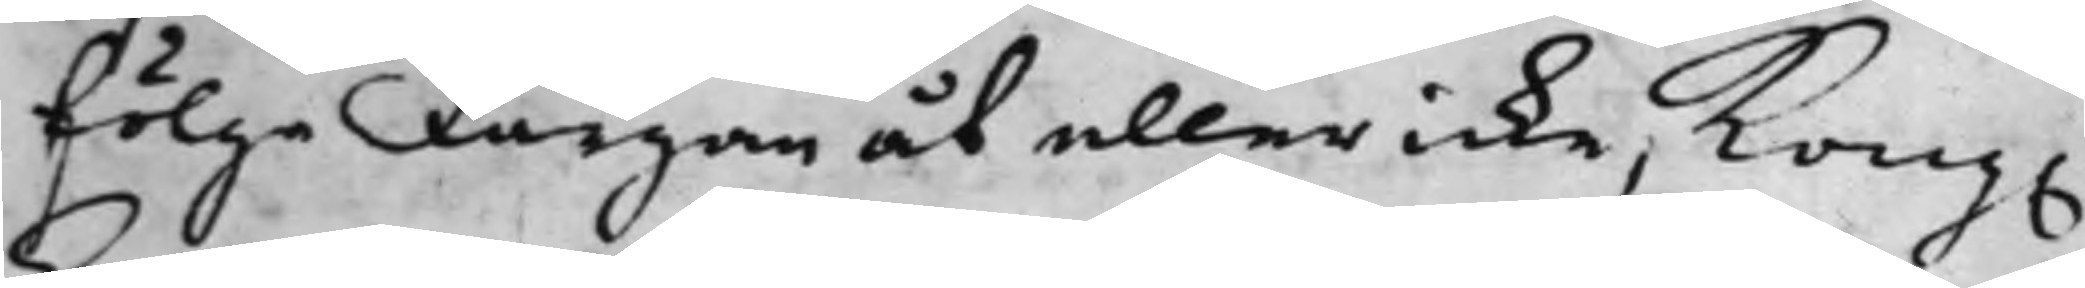fölge färgan åt eller icke, Kong.
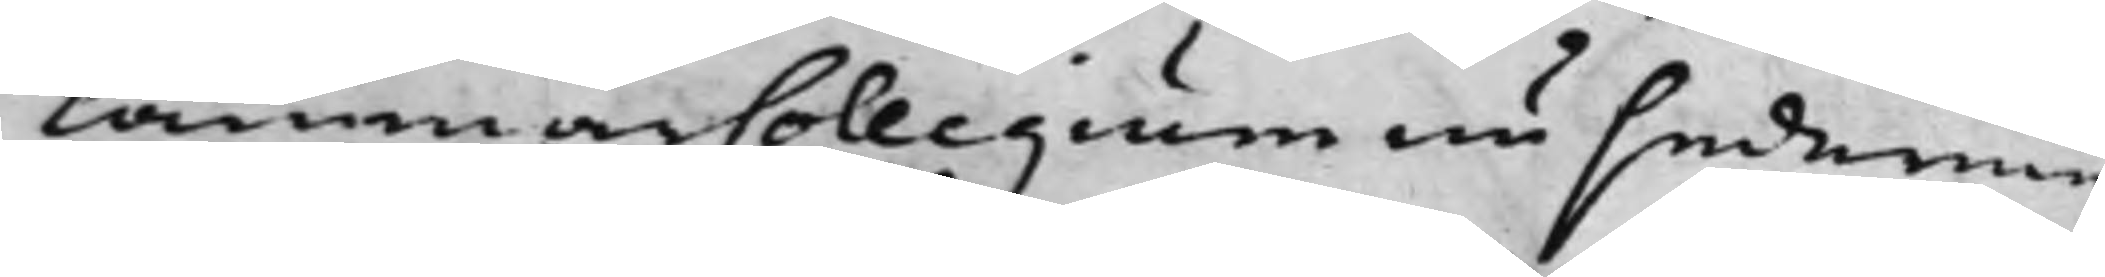CammarCollegium nu sederme¬
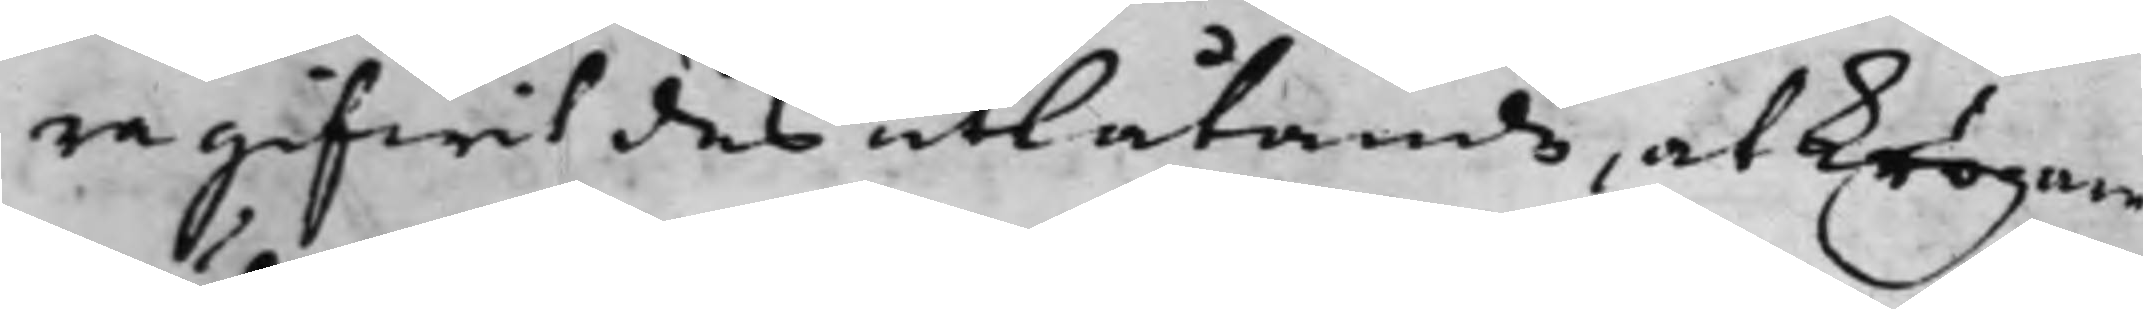ra gifwit des utlåtande, at krögare¬
